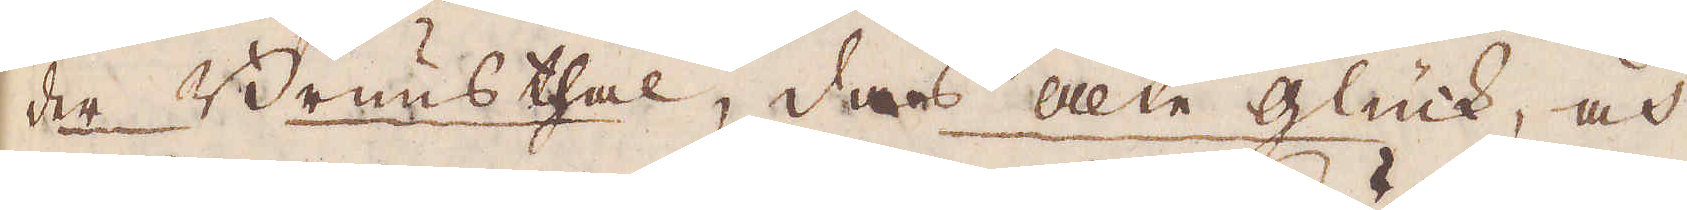der Brunsthal, das alta Glück, och
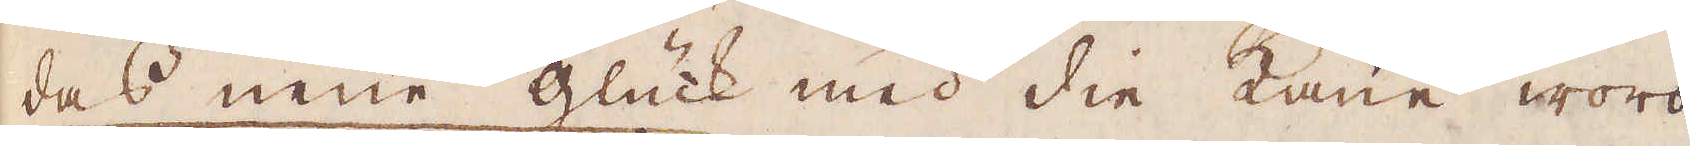das neüe glück med die kaue woro
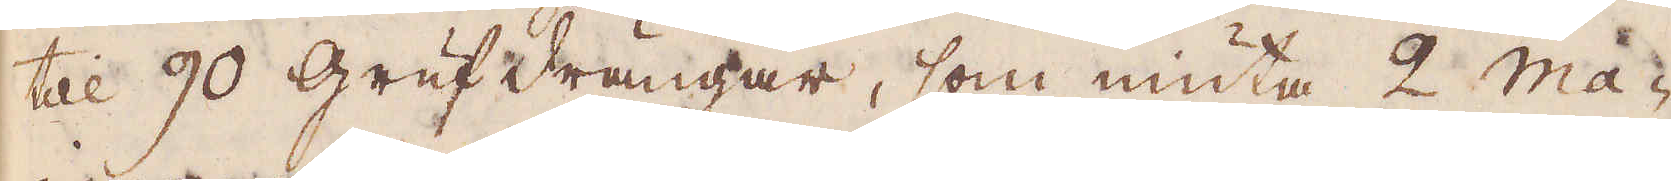till 90 Grufdrängar, som niuta 2 Ma-
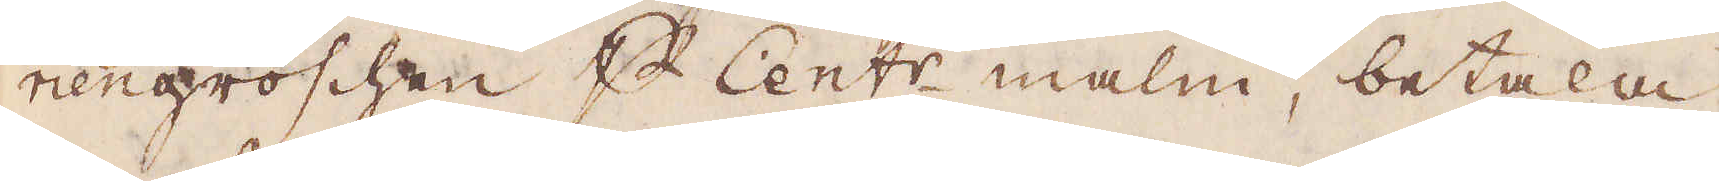riengroschen p Cent:r malm, betala
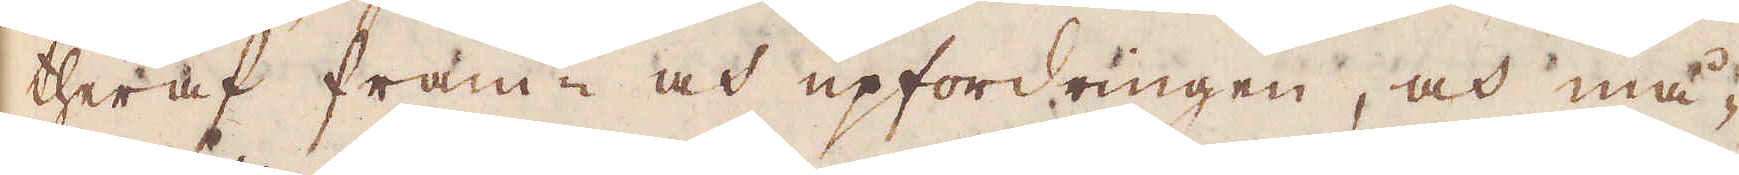theraf fram- och upfordringen, och må-
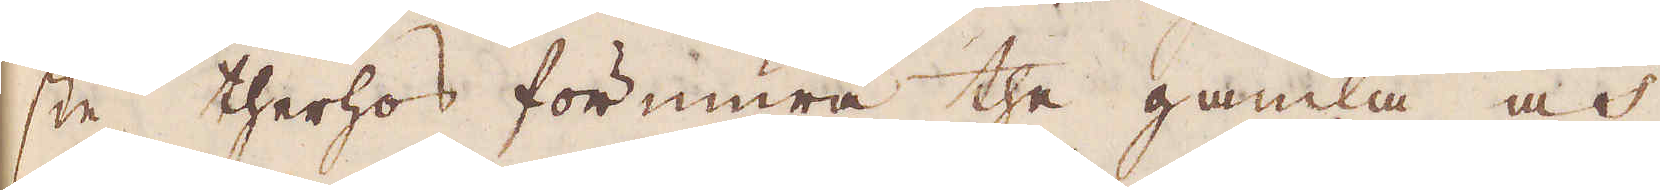ste therhos förmura the gamla och
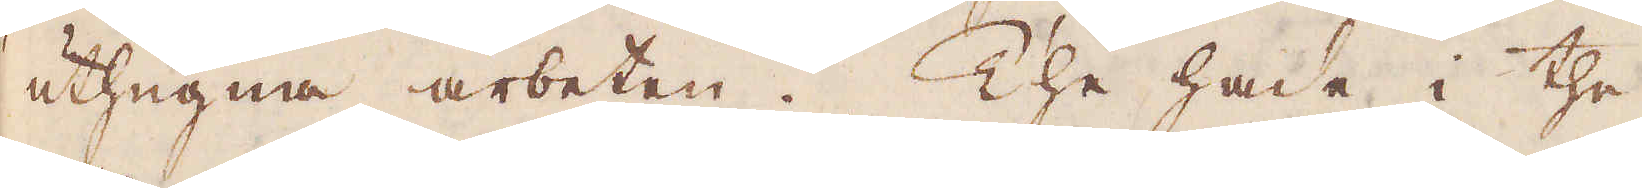uthugna arbeten. The hade i the
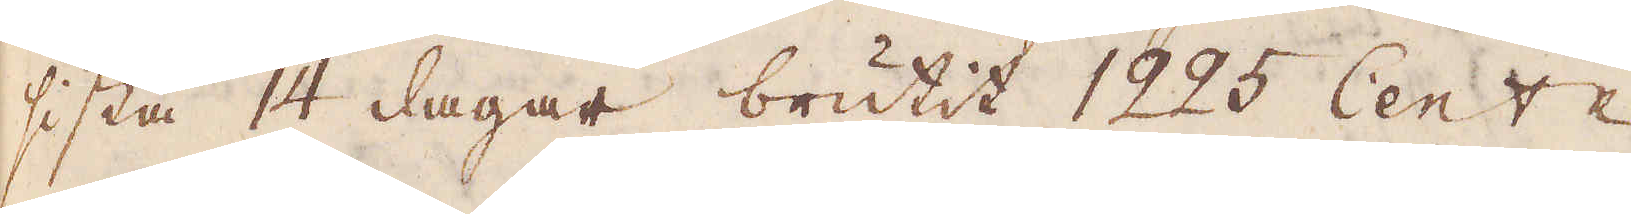sista 14 dagar brutit 1225 Cent:r
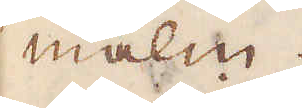malm.
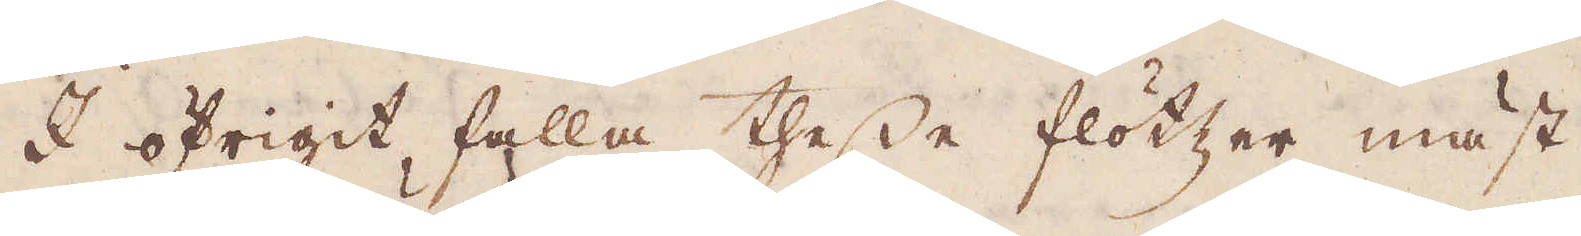I öfrigit falla thesse flötzer mäst
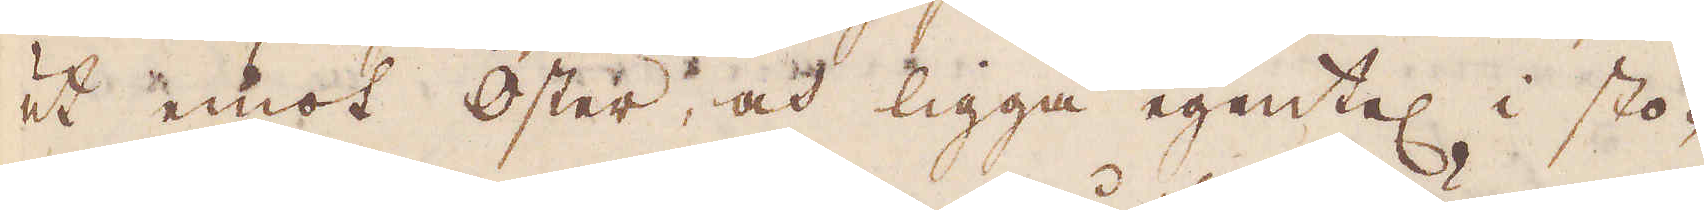ut emot öster, och ligga egentel i sto-
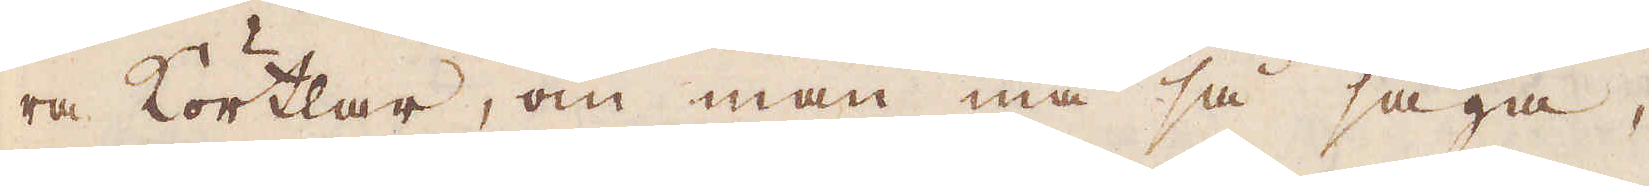ra körtlar, om man må så säga,
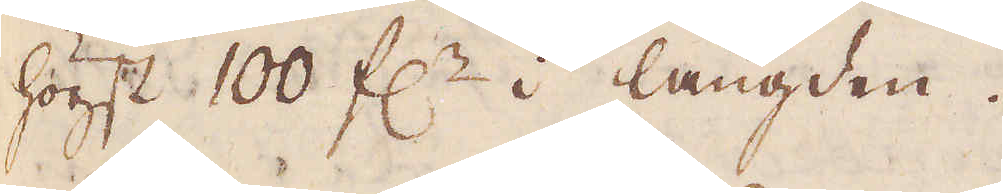högst 100 f:r i längden.
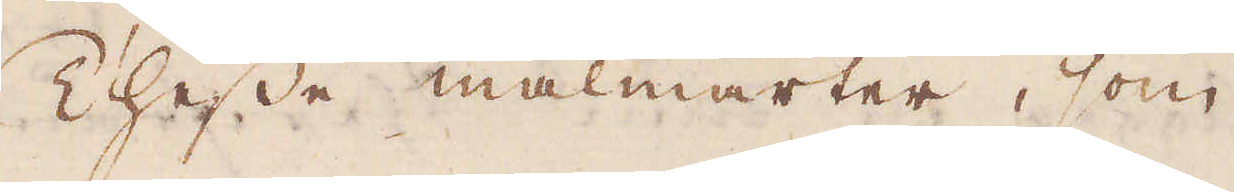Thesse malmarter, som
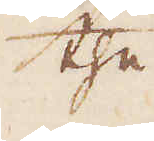the
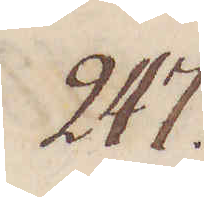247.
